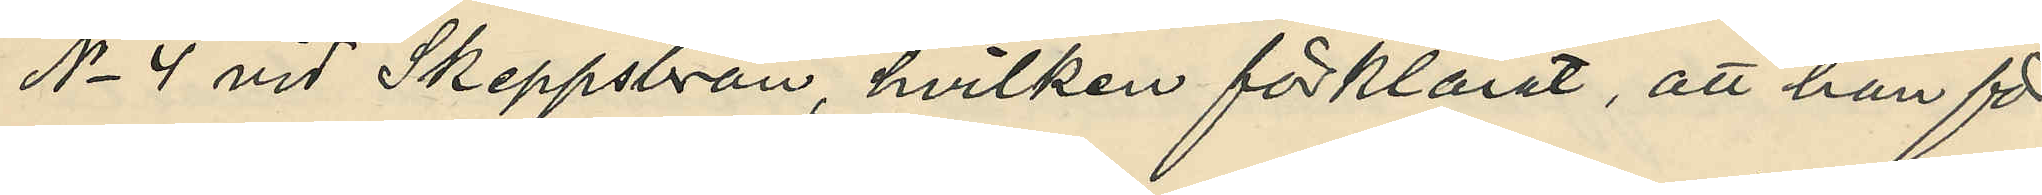No 4 vid Skeppsbron, hvilken förklarat att han för
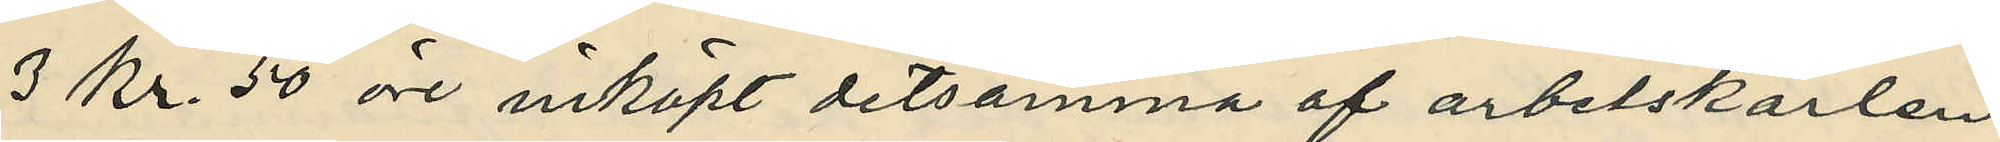3 kr 50 öre inköpt detsamma af arbetskarlen
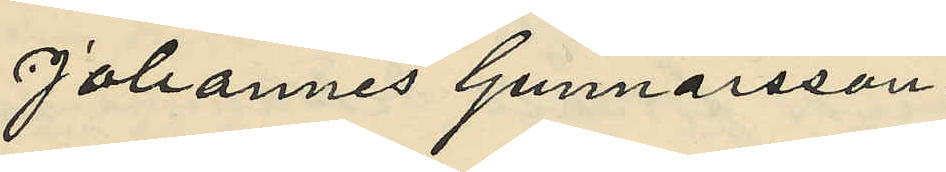Johannes Gunnarsson.
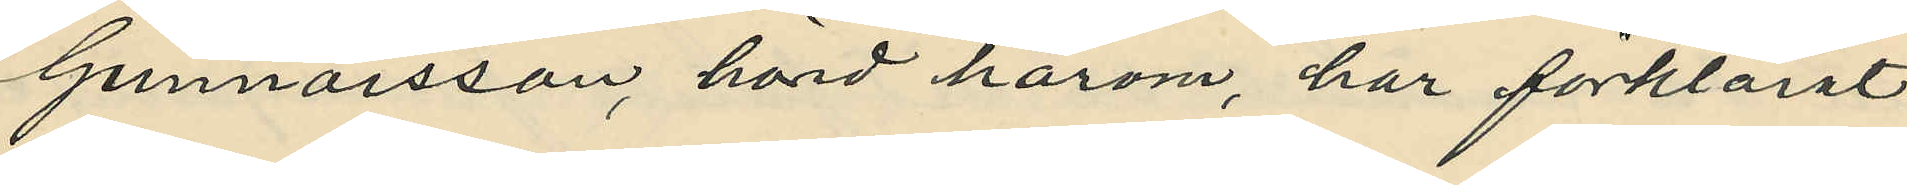Gunnarsson, hörd härom, har förklarat
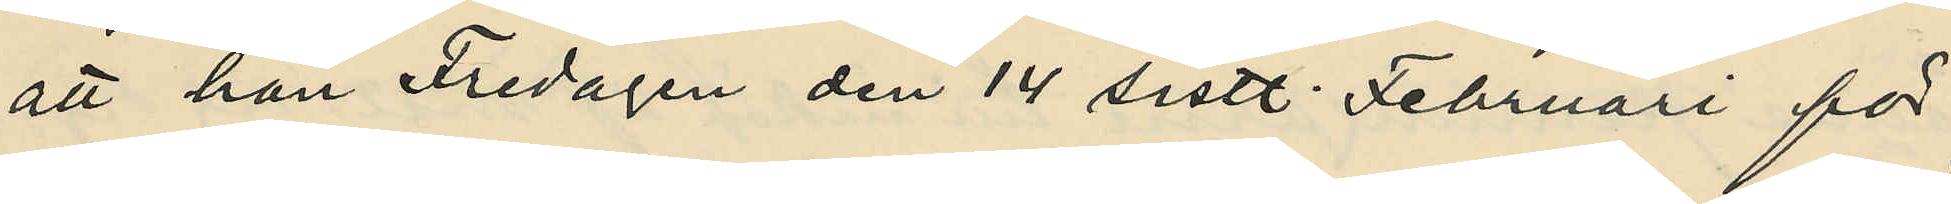att han Fredagen den 14 sistl. Februari för
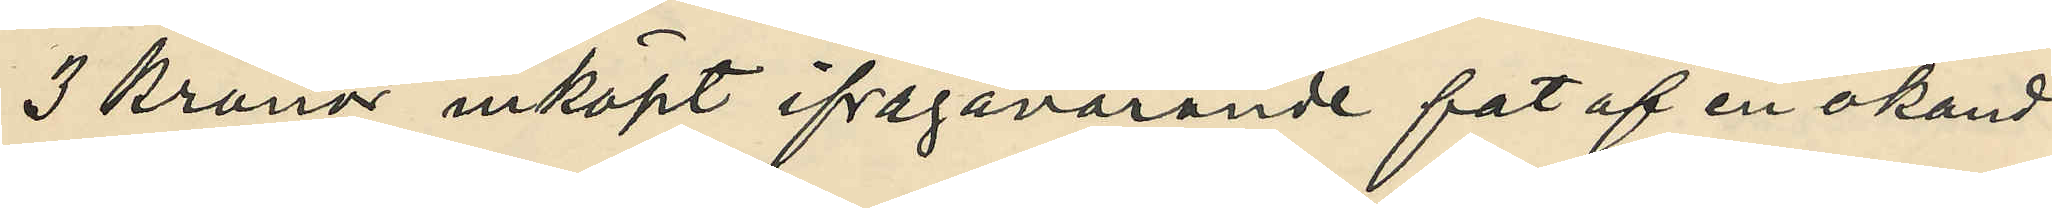3 kronor inköpt ifrågavarande fat af en okänd
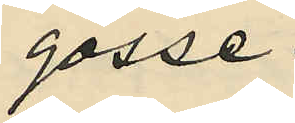gosse.
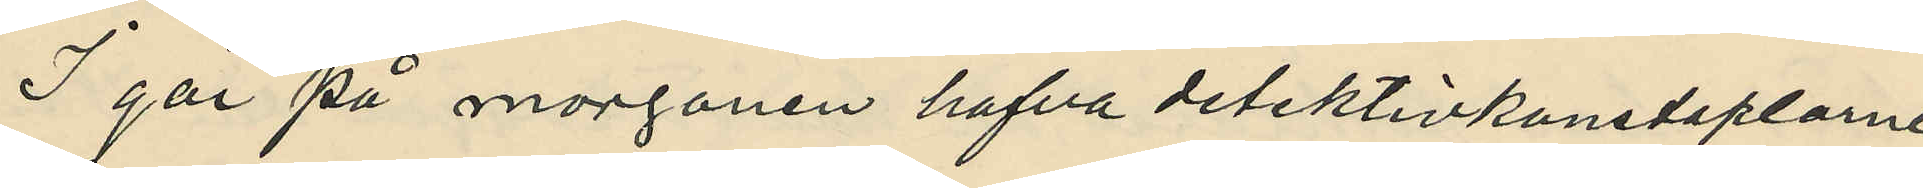I går på morgonen hafva detektivkonstaplarne
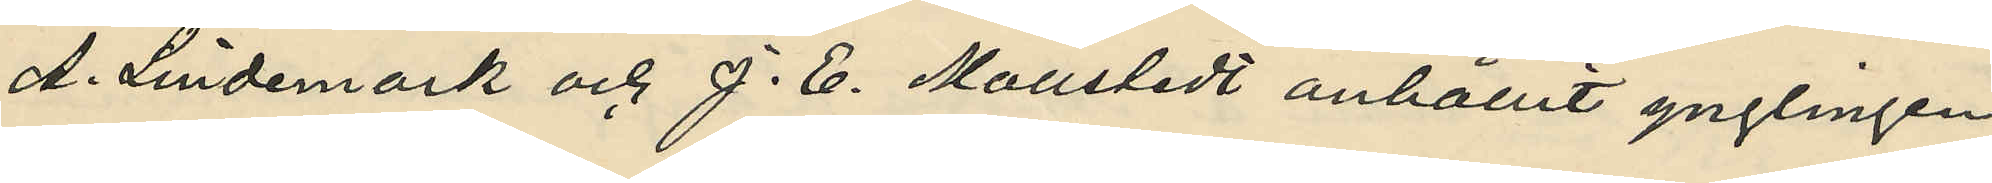A. Lindemark och J. E. Mollstedt anhållit ynglingen
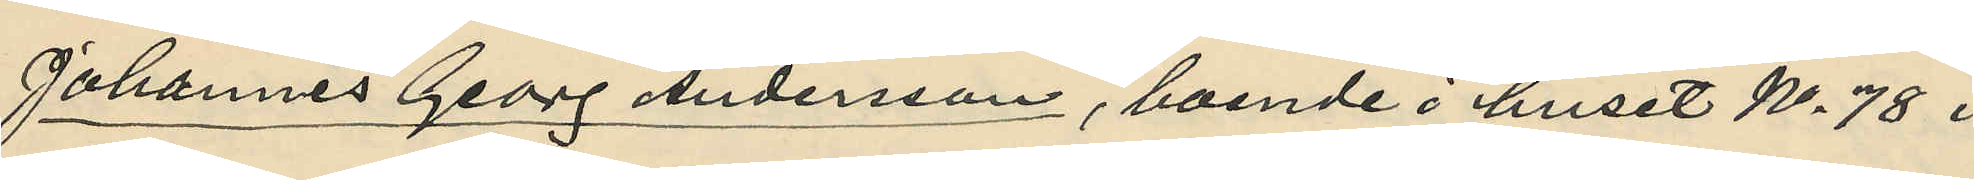Johannes Georg Andersson, boende i huset No 78 i
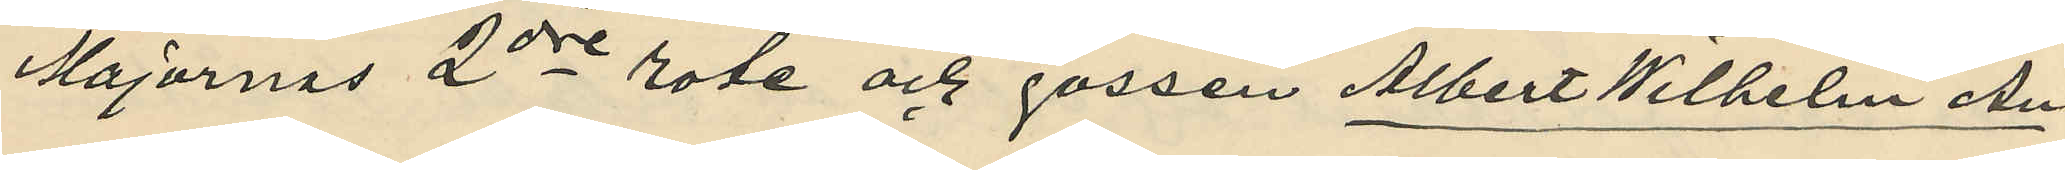Majornas 2dre rote och gossen Albert Wilhelm An¬
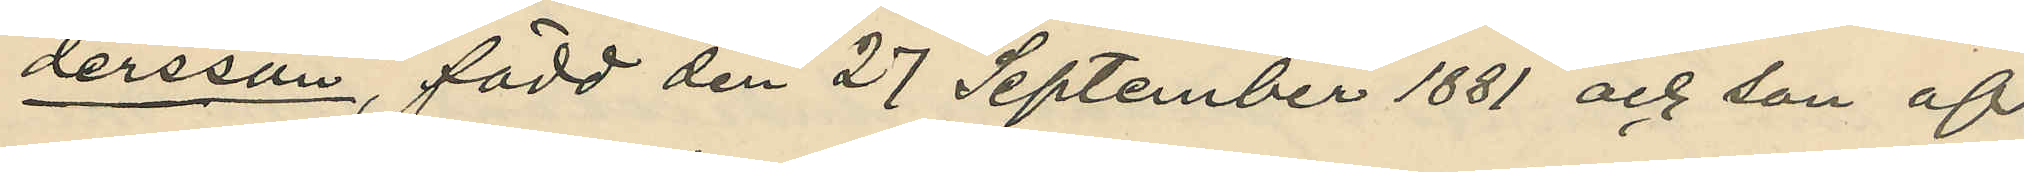dersson, född den 27 September 1881 och son af
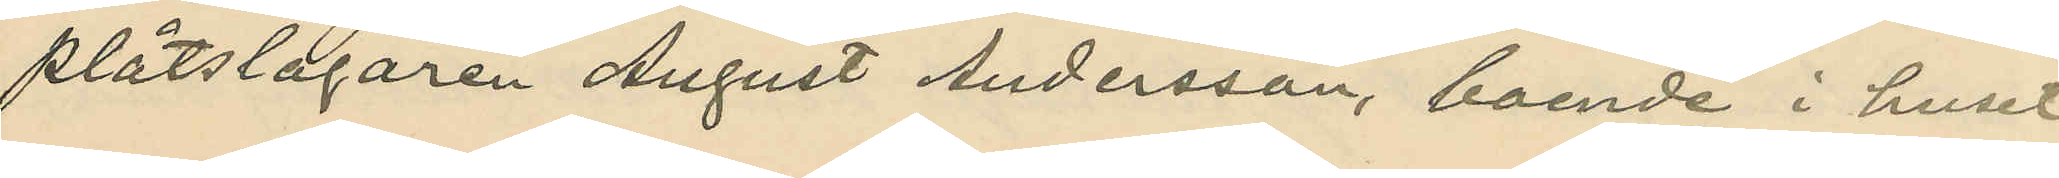plåtslagaren August Andersson, boende i huset
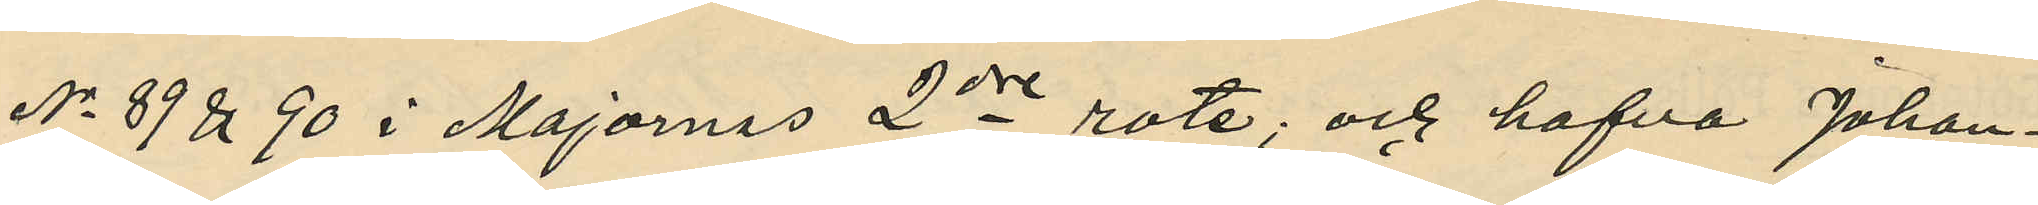No 89 & 90 i Majornas 2dre rote, och hafva Johan¬
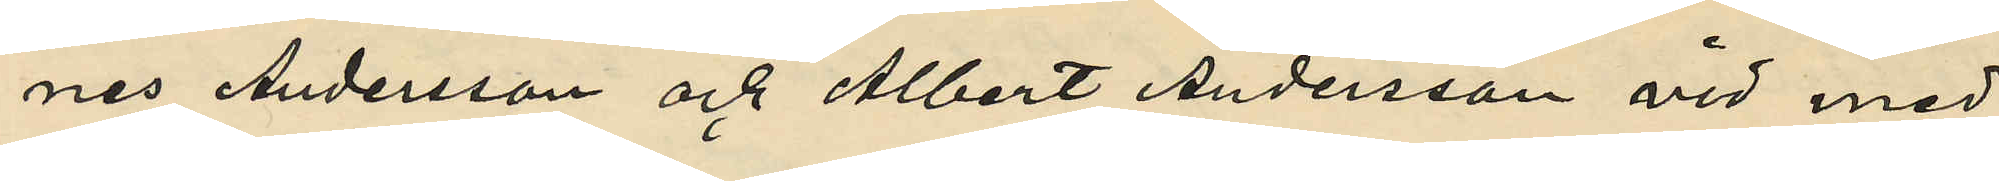nes Andersson och Albert Andersson vid med
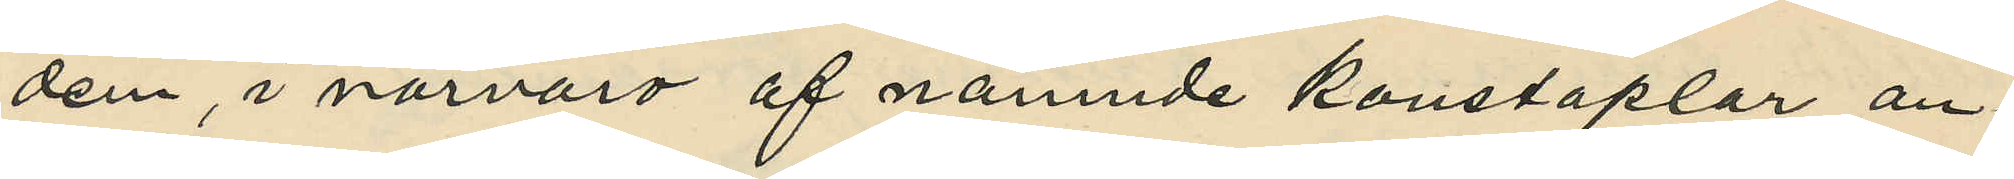dem i närvaro af nämnde konstaplar an¬
